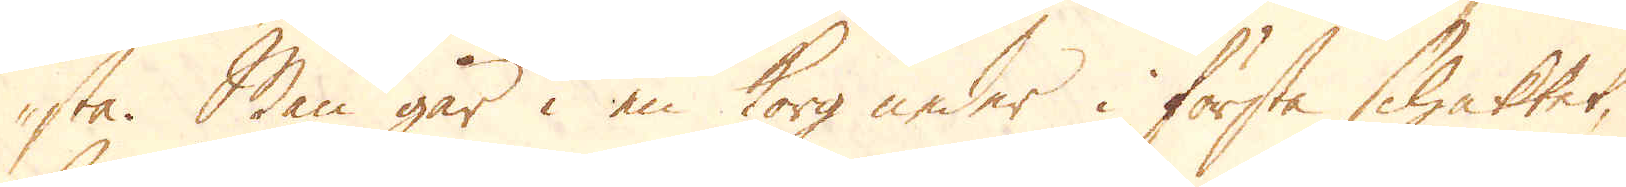sta. Man går i en Korg neder i första schaktet,
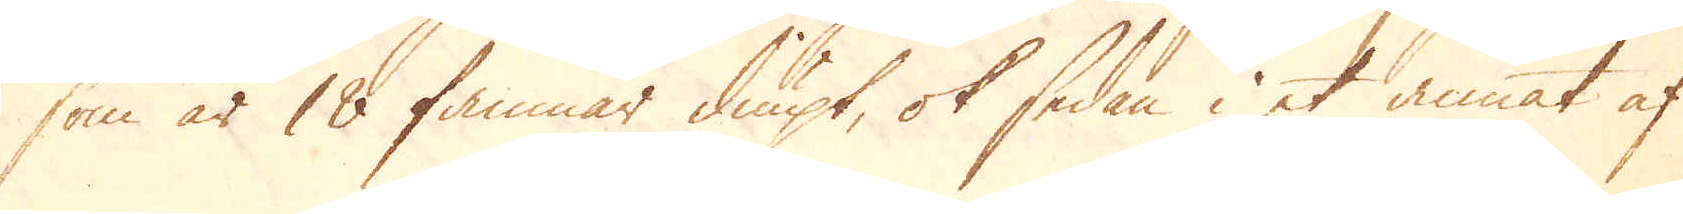som är 18 famnar diupt, ok sedan i et annat af
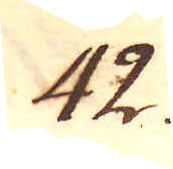42.
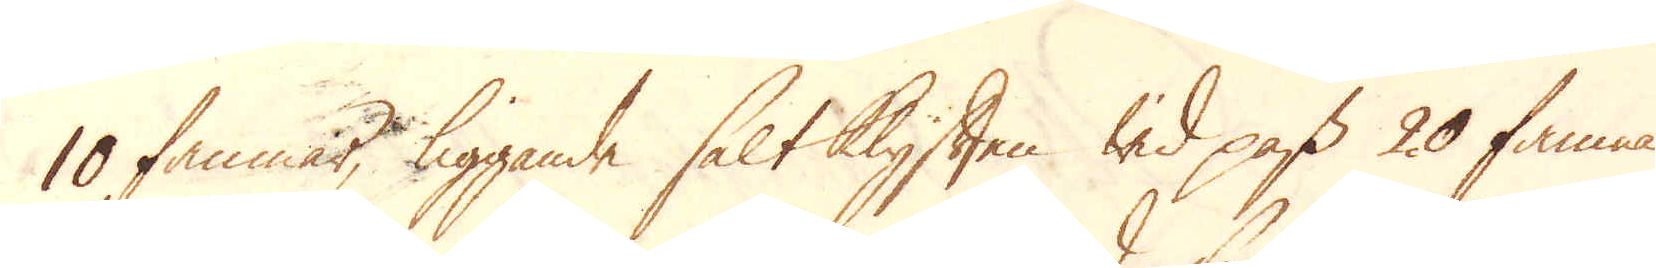10 famnar, liggande saltklyften wid pass 20 famnar
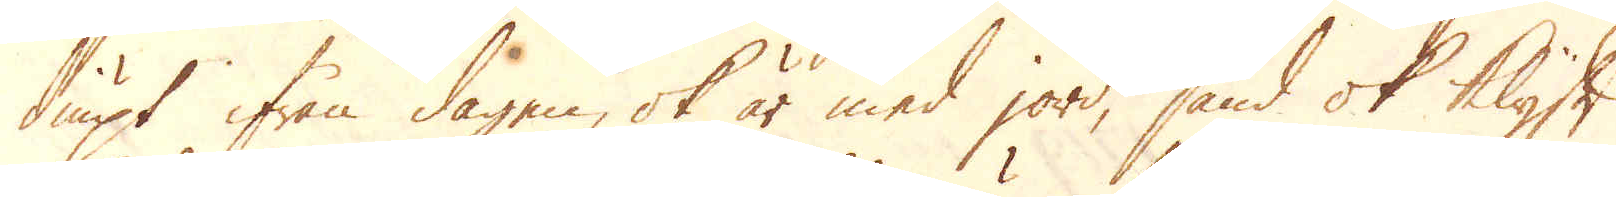diupt ifrån dagen, ok är med jord, sand ok klyft
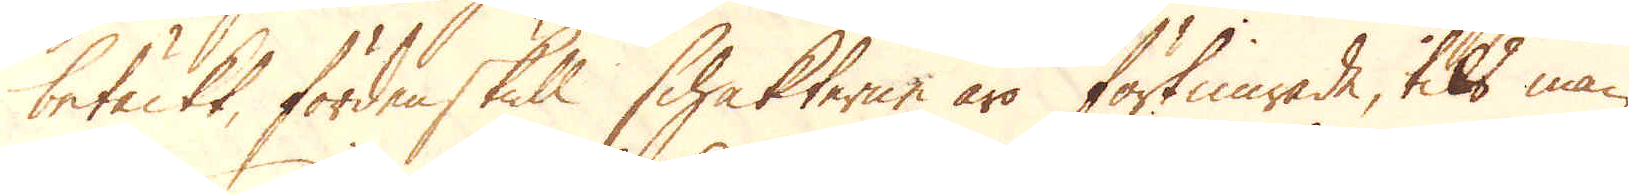betäckt, fördenskull schakterne äro förtimrade, tils man
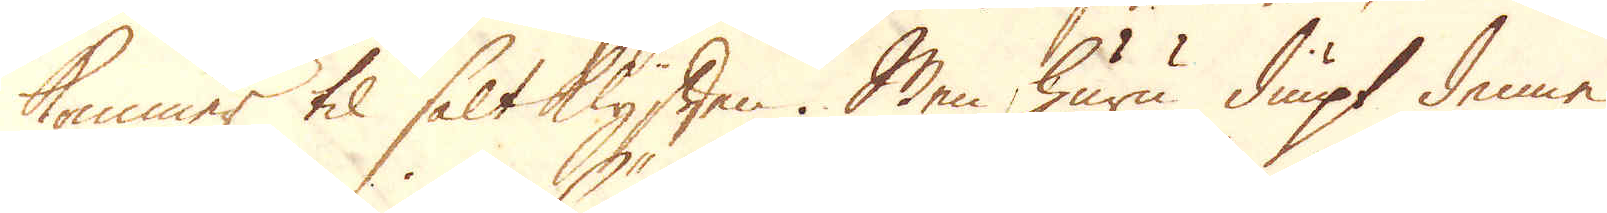kommer til saltklyften. Men huru diupt denne
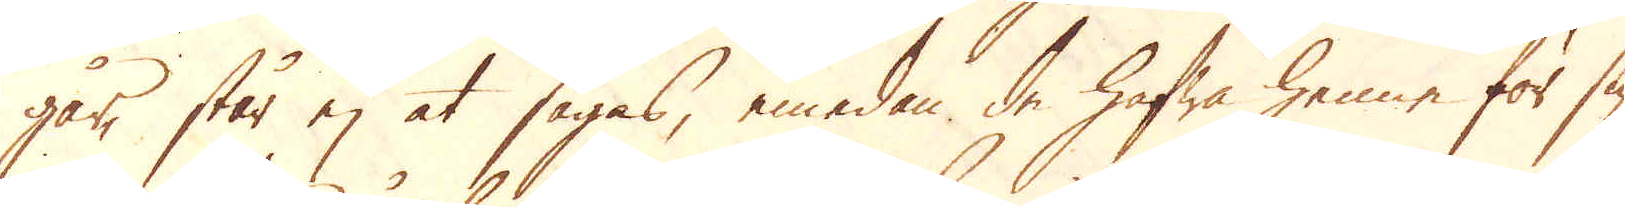går, står ej at sägas, emedan de hafwa henne för sig
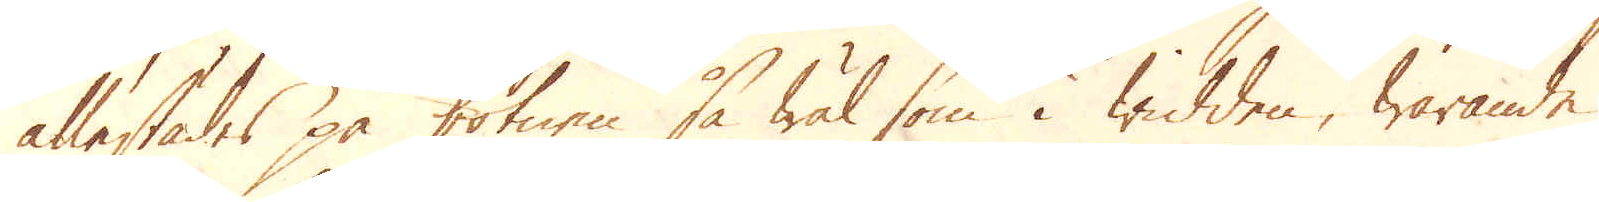allestädes på botnen så wäl som i widden, warande
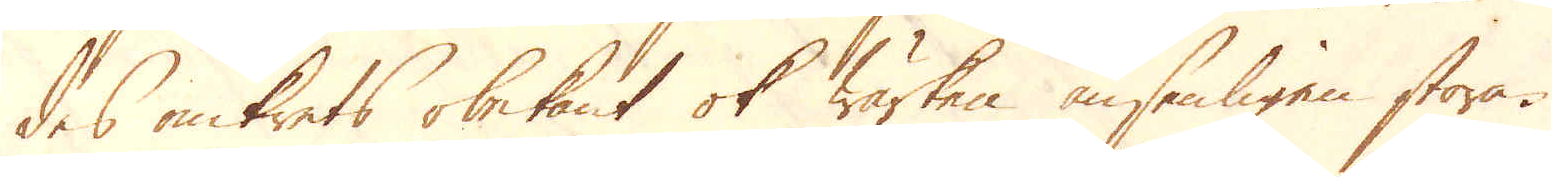des omkrets obekant ok wärken ansenligen stora.
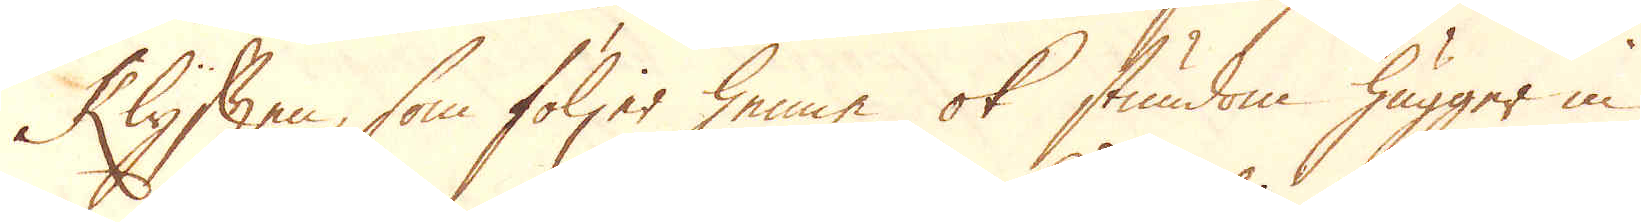Klyften, som följer henne ok stundom hugger in
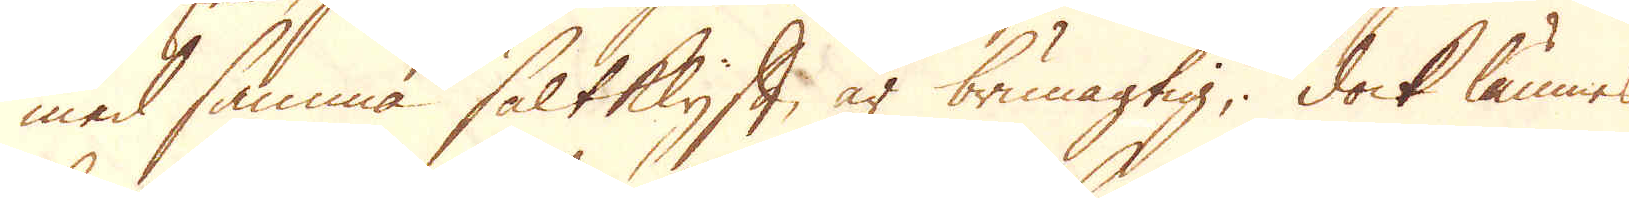med samma saltklyft, är brunagtig; dock lämnes
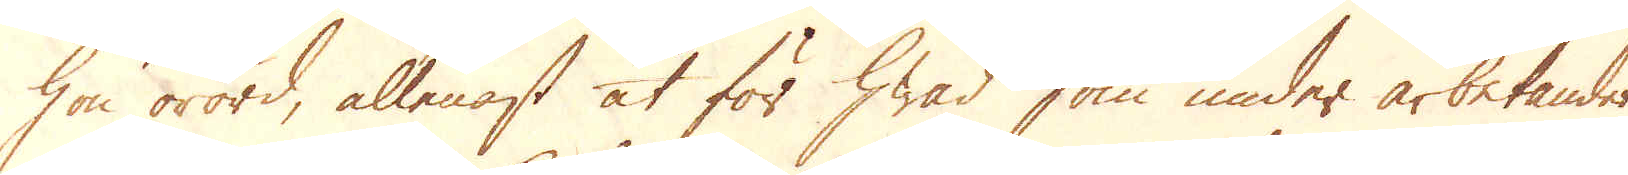hon orörd, allenast at för hwad som under arbetandet
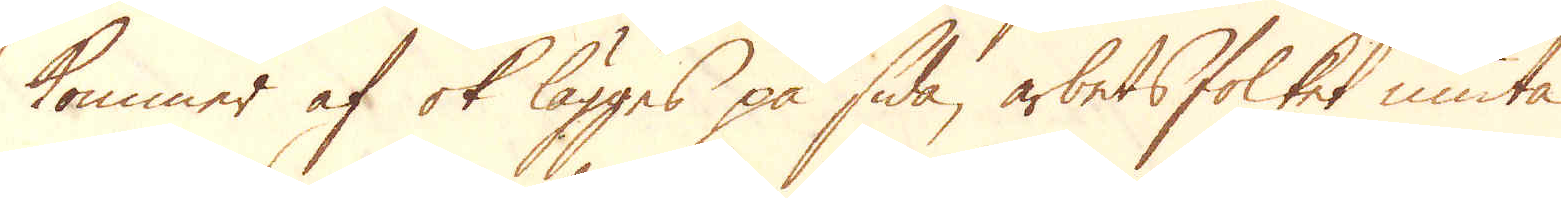kommer af ok lägges på sida, arbetsfolket niuta
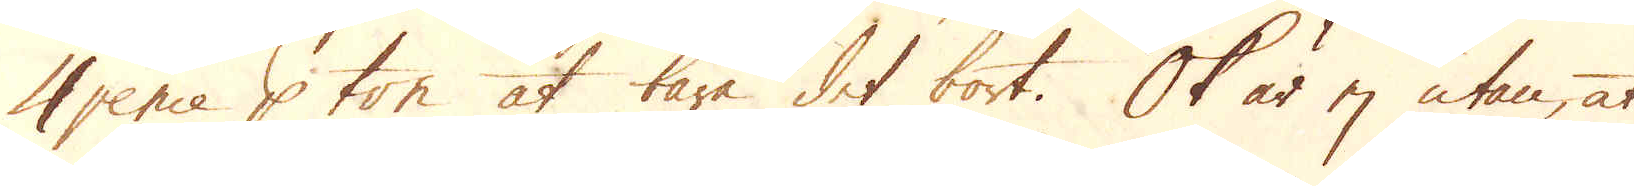4 pence p ton at bära det bort. Ok är ej utan, at
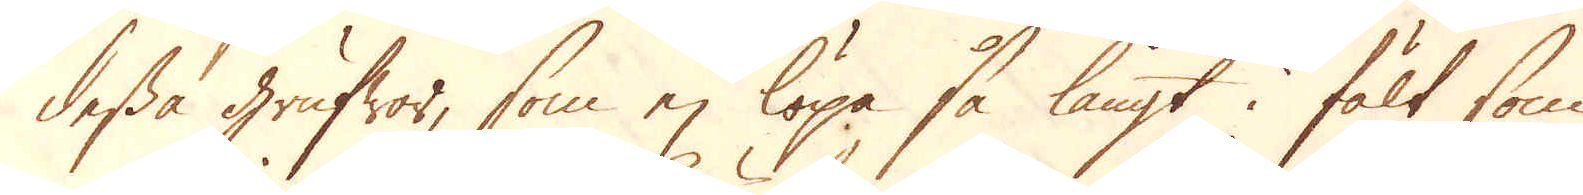dessa Grufwor, som ej löpa så långt i fält som
